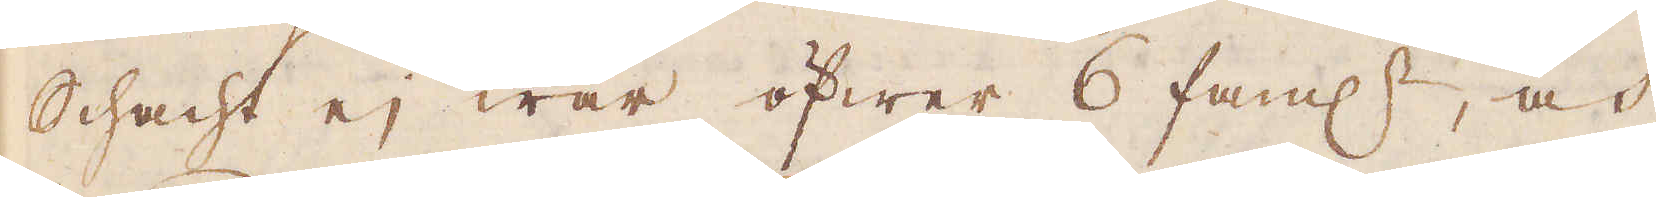Schacht ej war öfwer 6 faml:r, och
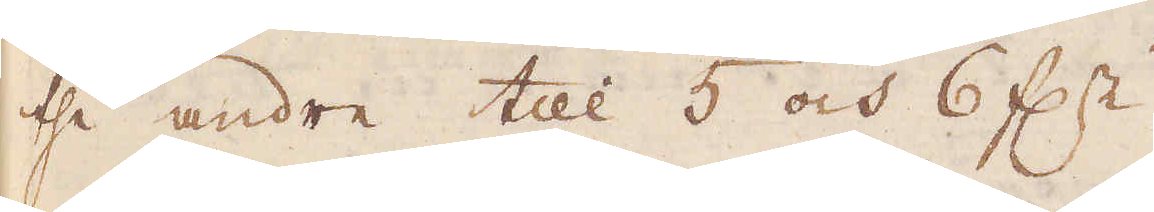the andre till 5 och 6 f:r.
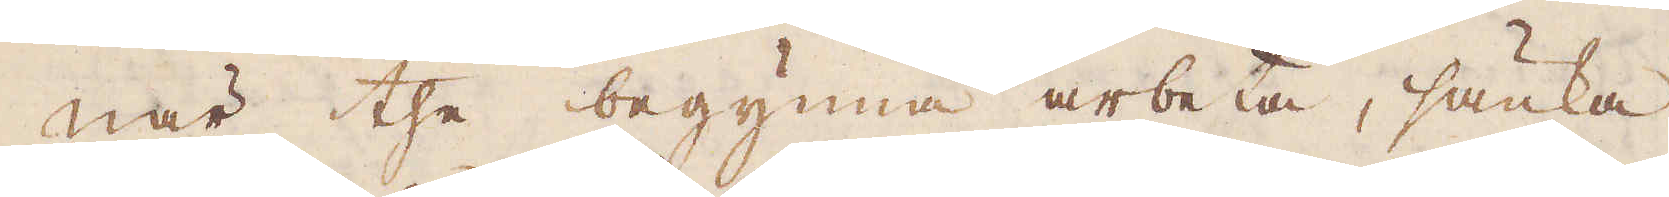När the begynna arbeta, sänka
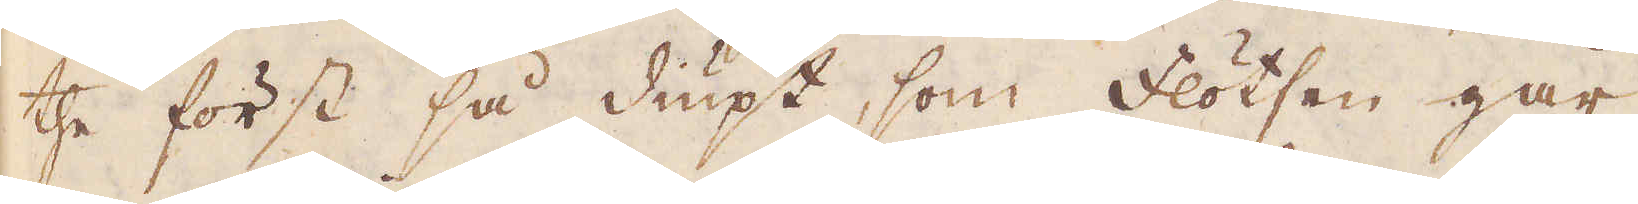the först så diupt, som Flötzen går,
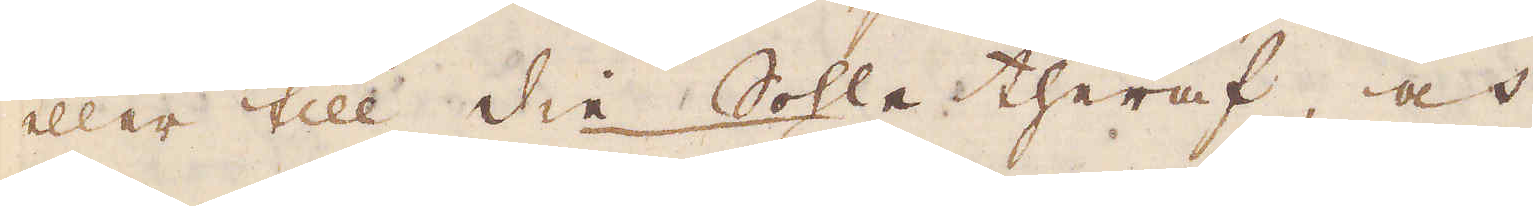eller till die Sohle theraf, och
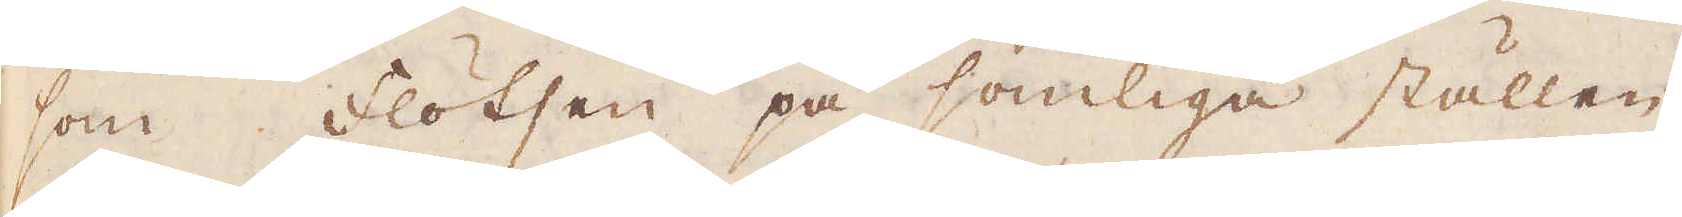som Flotsen på somliga ställen
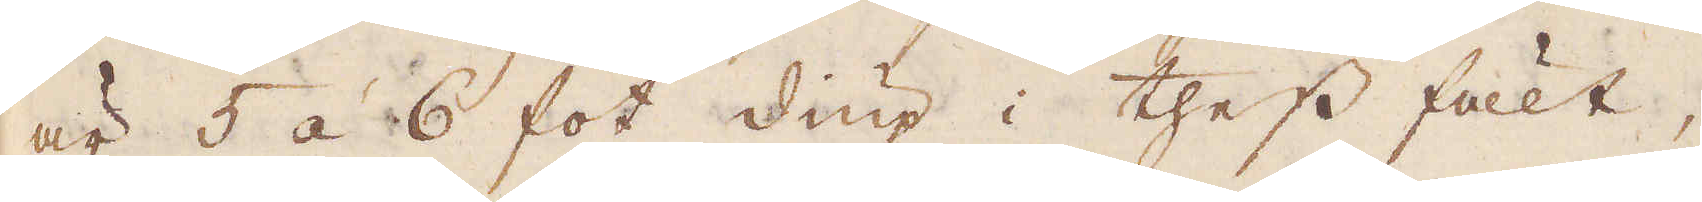är 5 á 6 fot diup i thess fält,
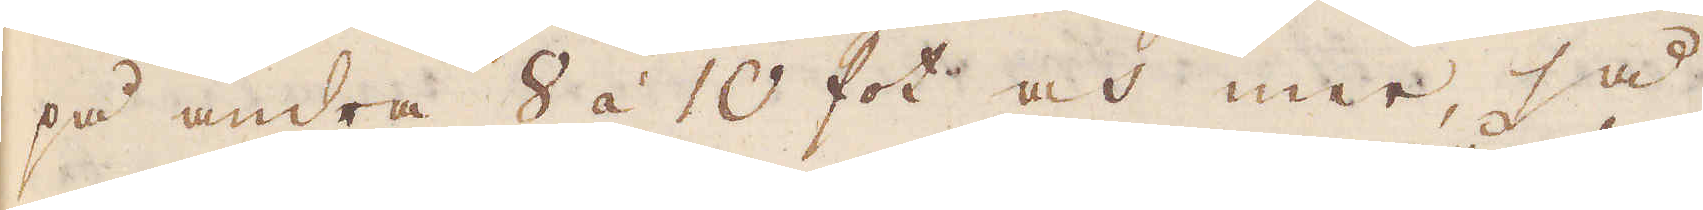på andra 8 á 10 fot och mer, så
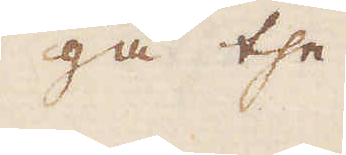gå the
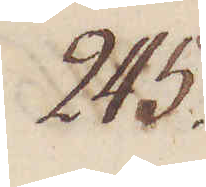245.
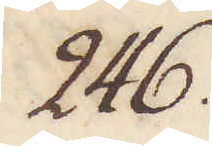246.
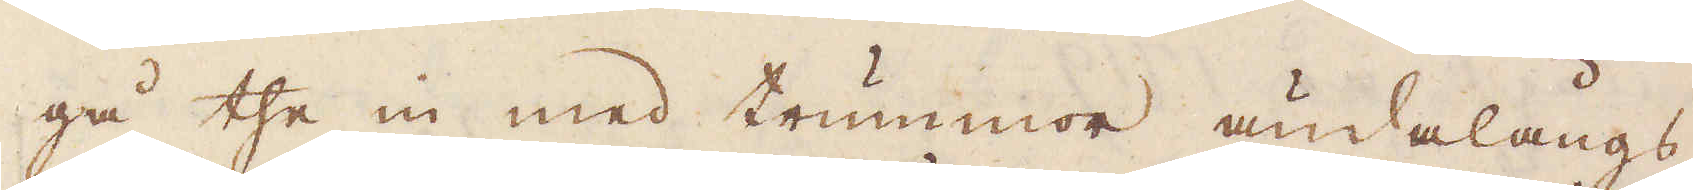gå the in med trummor ändalångs
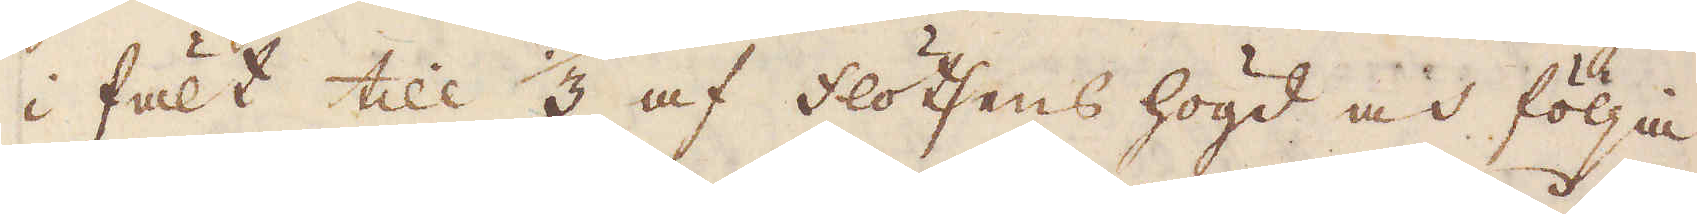i fält till 3 af Flötsens högd och följa
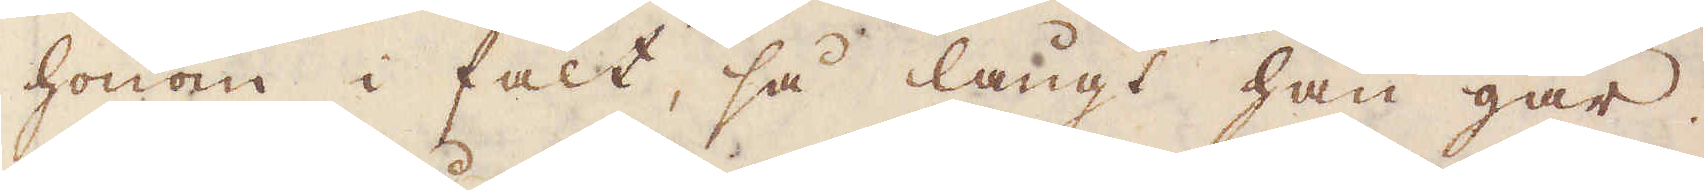honom i fält, så långt han går.
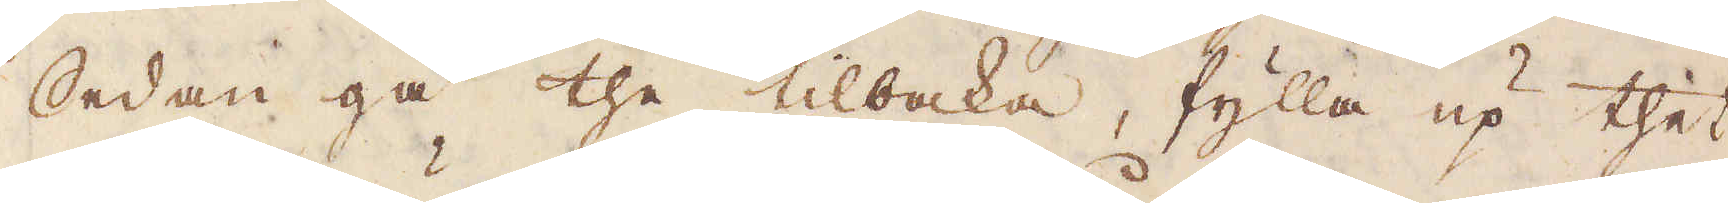Sedan gå the tilbaka, fylla up thet
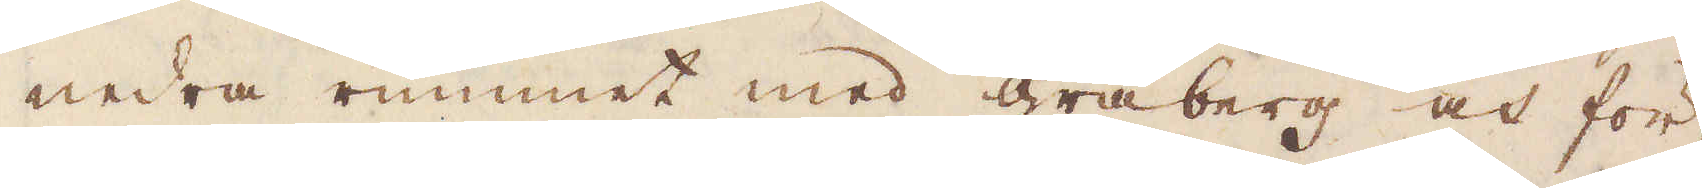nedra rummet med gråberg och för-
